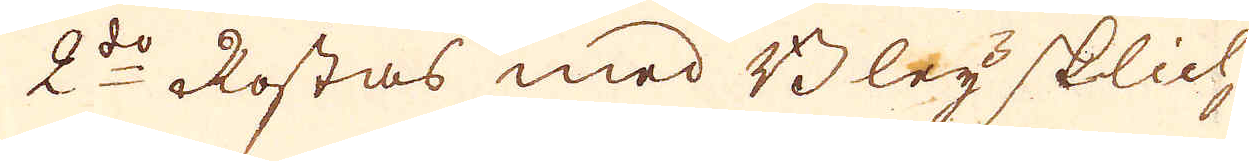2:do Rostas med Bleysklich
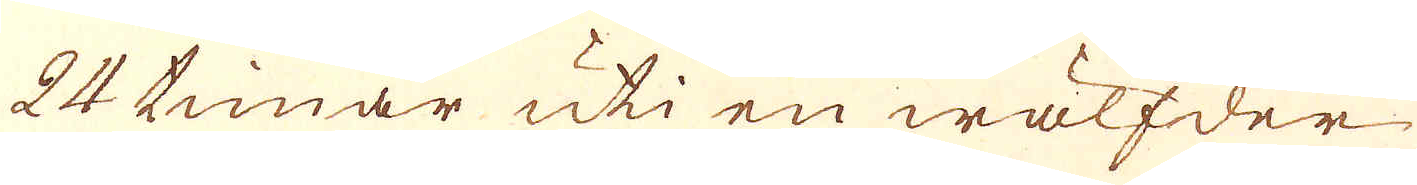24 timar uti en wälfder-
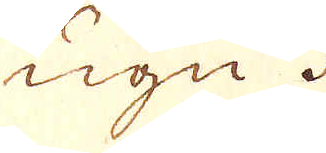ugn.
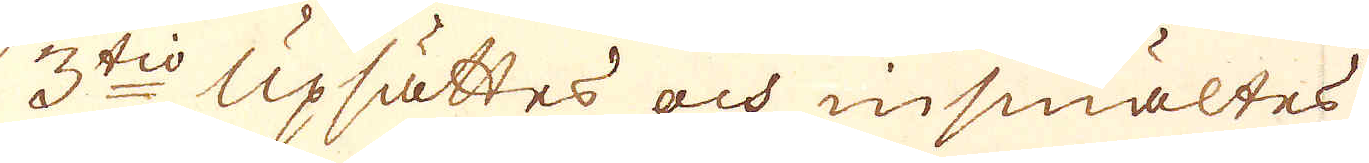3tio Upsättes och insmältes
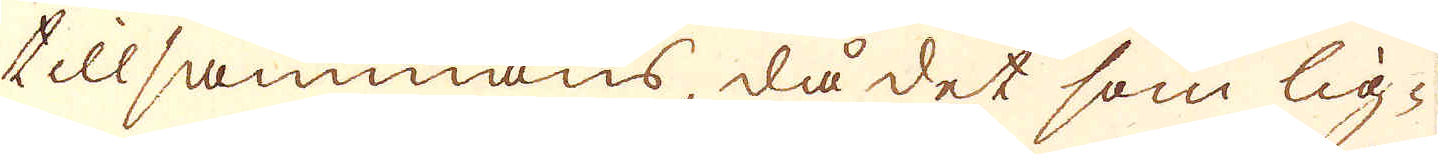tillsammans, då det som lig-
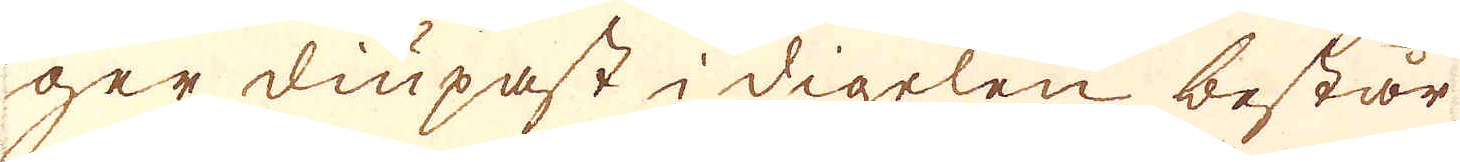ger diupast i digelen, består
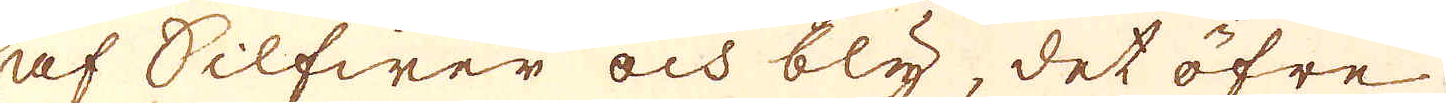af Silfwer och bly, det öfre
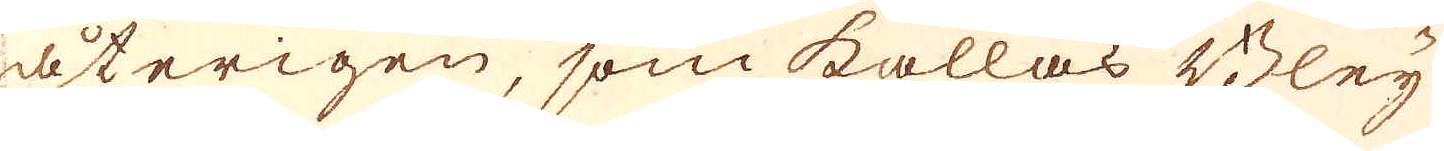återigen, som kallas Bley
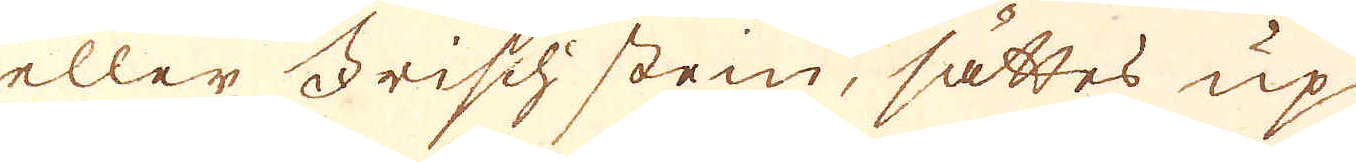eller Frischstein, sättes up-
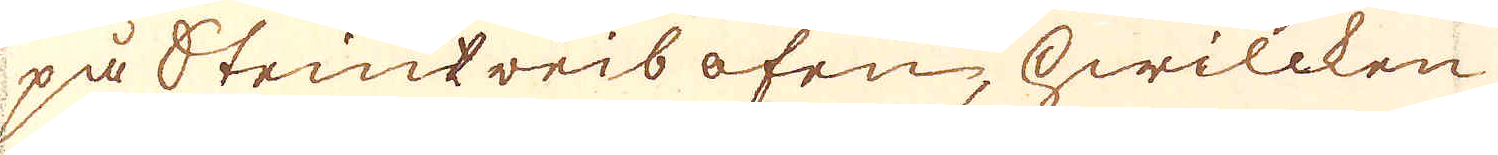på Steintreib ofen, hwillken
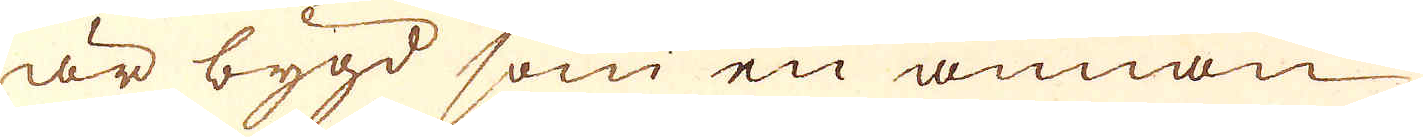är bygd som en annan
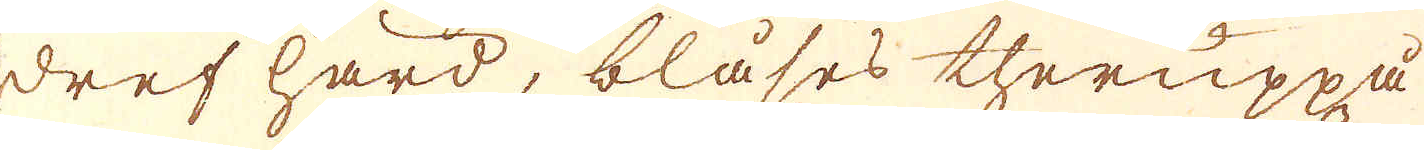dref hard, bläses theruppå
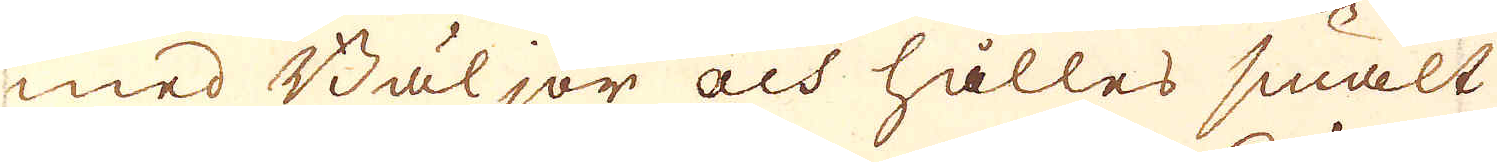med Bäljor och hålles smält
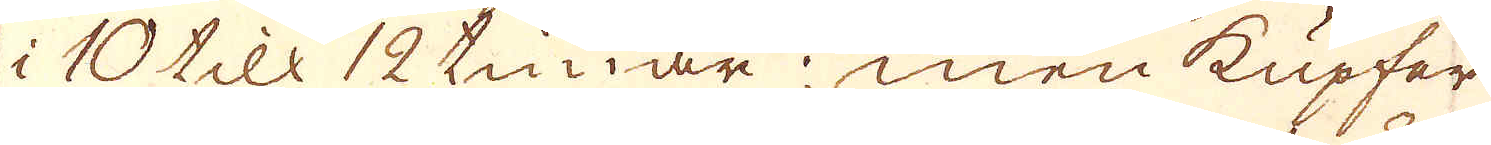i 10 till 12 tunar; men Kupfer
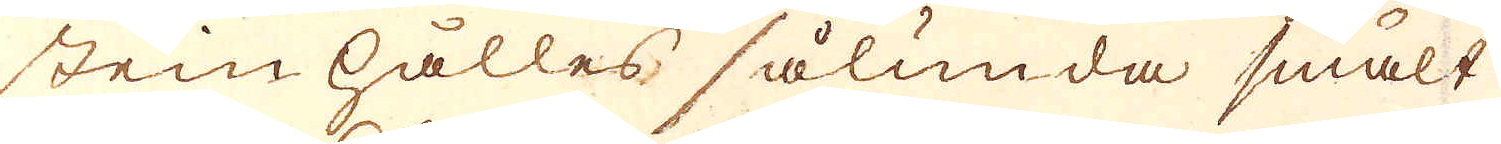stein hålles sålunda smält
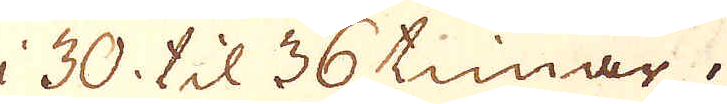30 til 36 timar.
